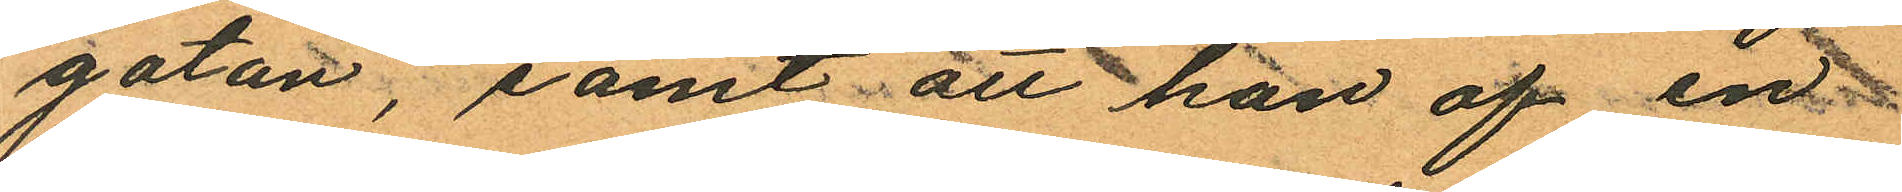gatan, samt att han af en
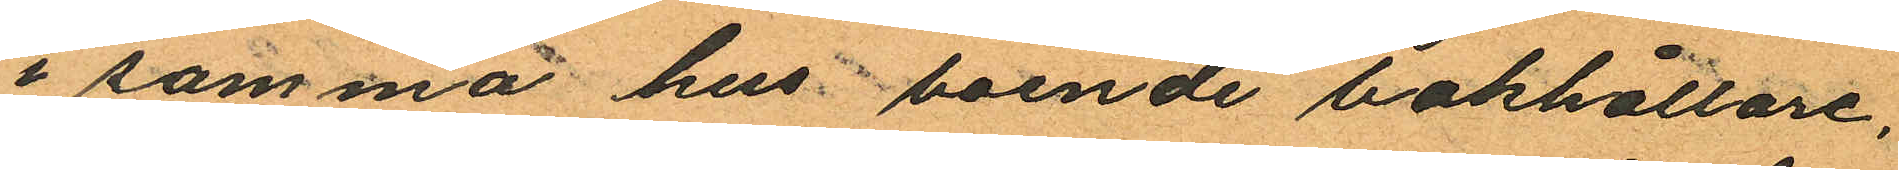i samma hus boende bokhållare,
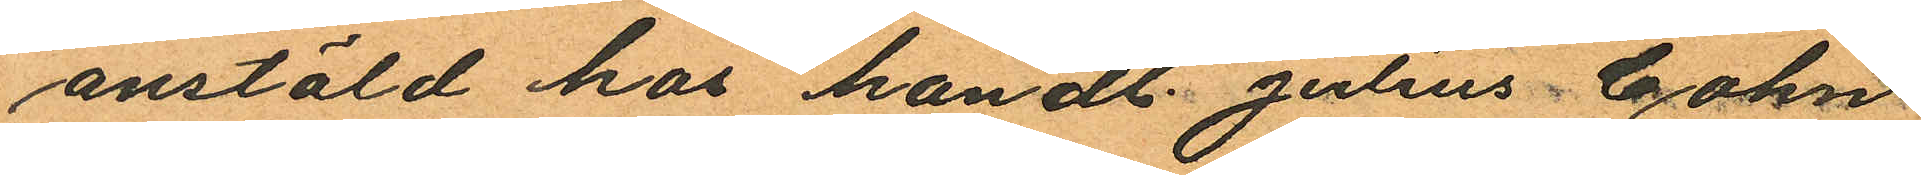anstäld hos handl. Julius Cohn
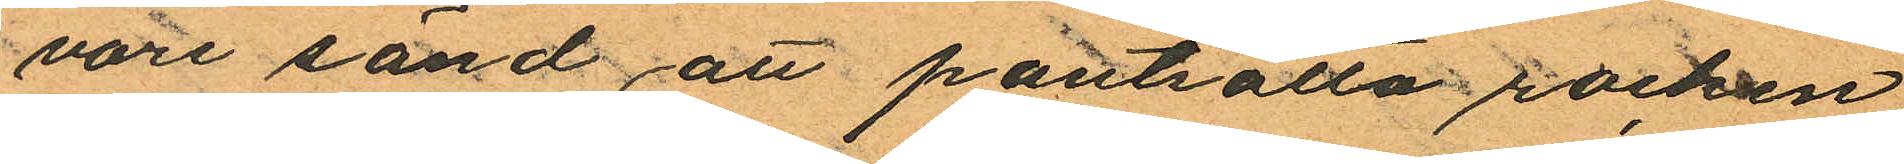vore sänd att pantsätta rocken,
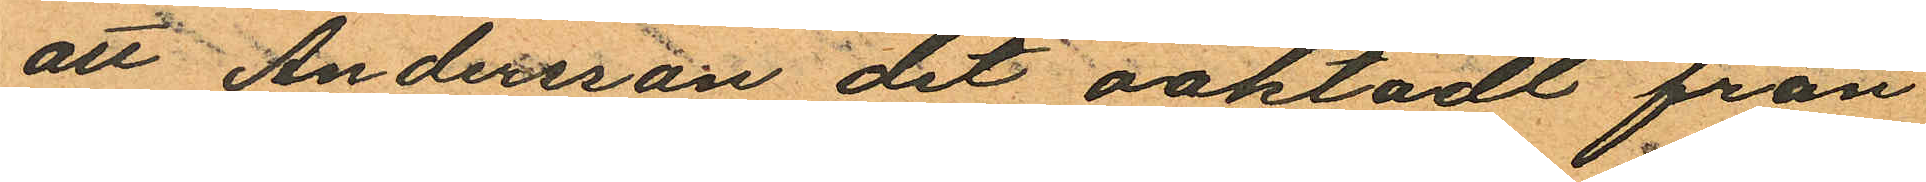att Andersson det oaktadt från
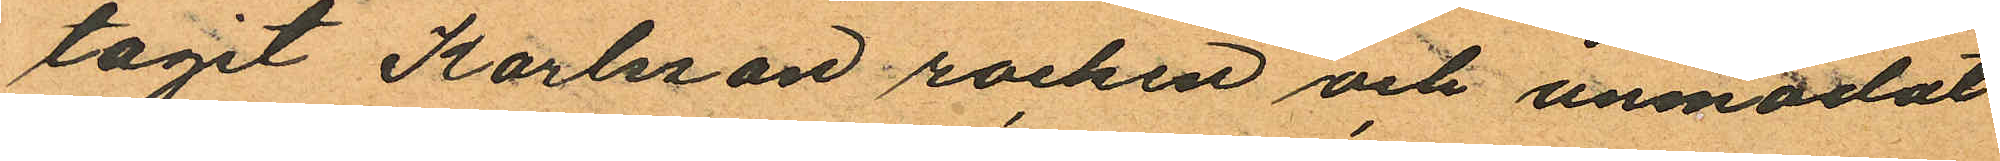tagit Karlsson rocken och anmodat
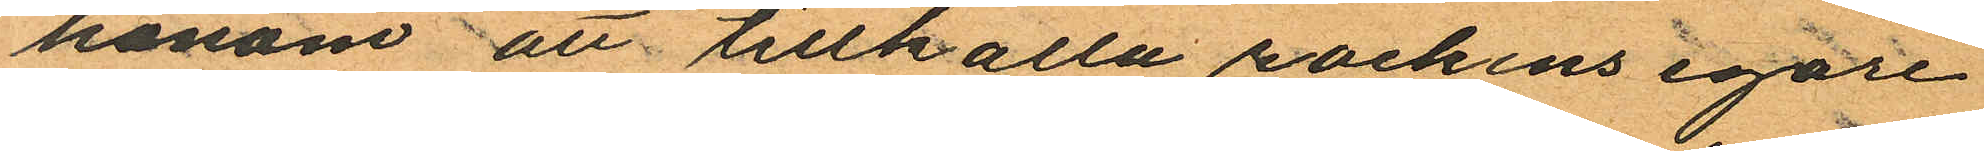honom att tillkalla rockens egare
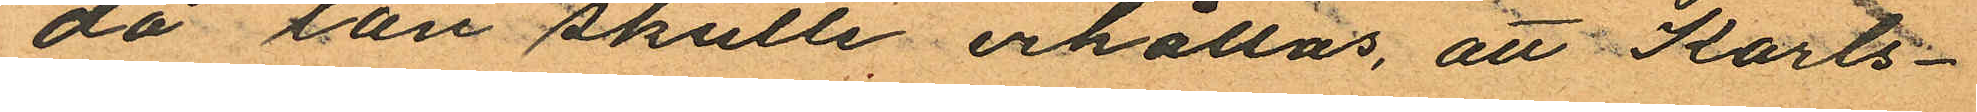då lån skulle erhållas, att Karls¬
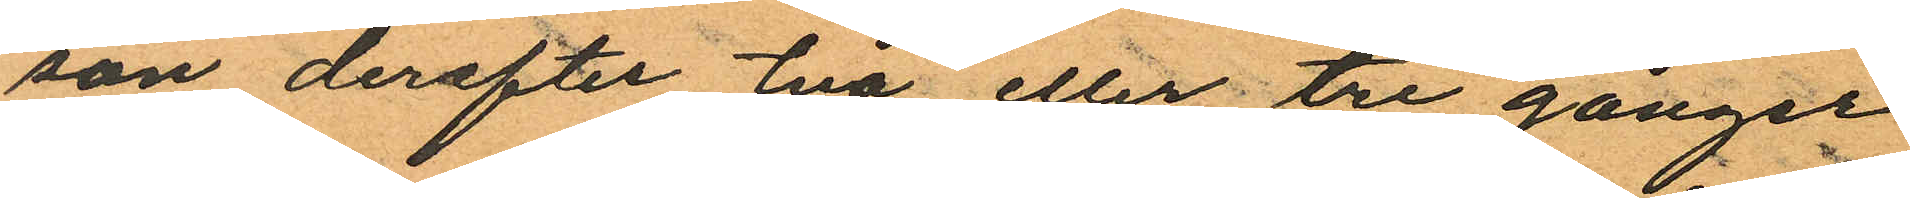son derefter två eller tre gånger
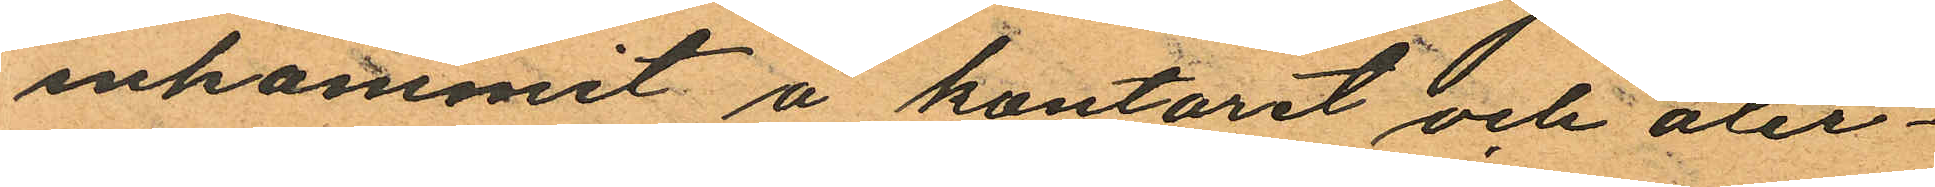inkommit å kontoret och åter¬
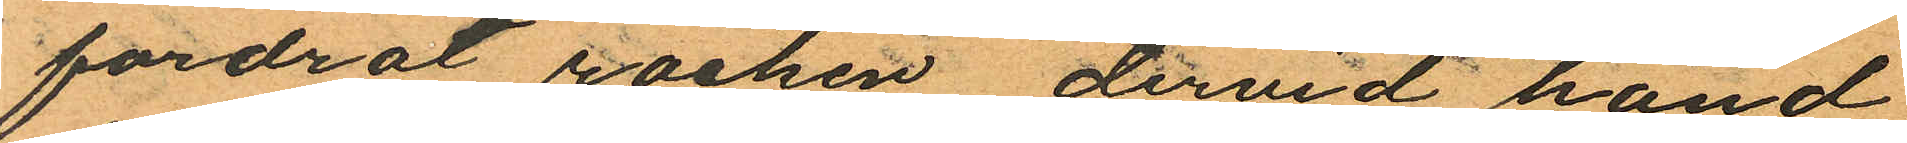fordrat rocken, dervid hand
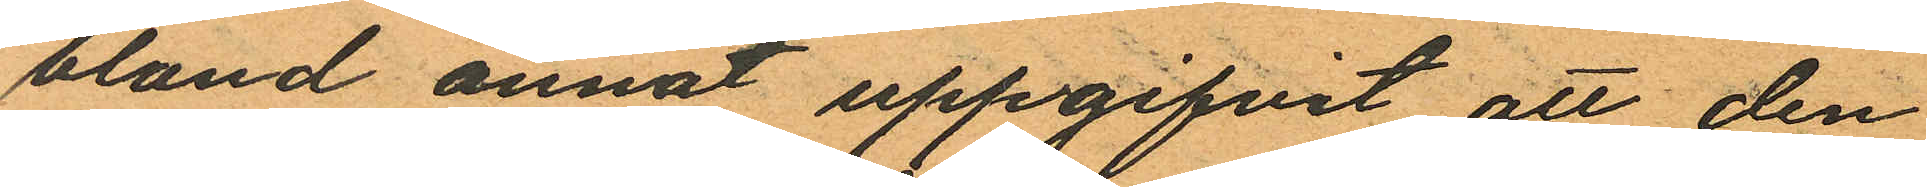bland annat uppgifvit att den
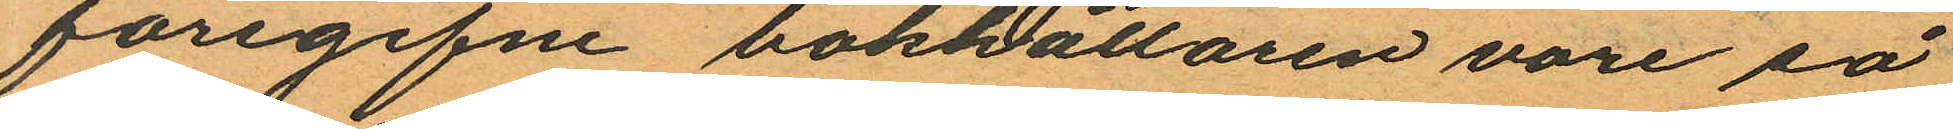föregifne bokhållaren vore så
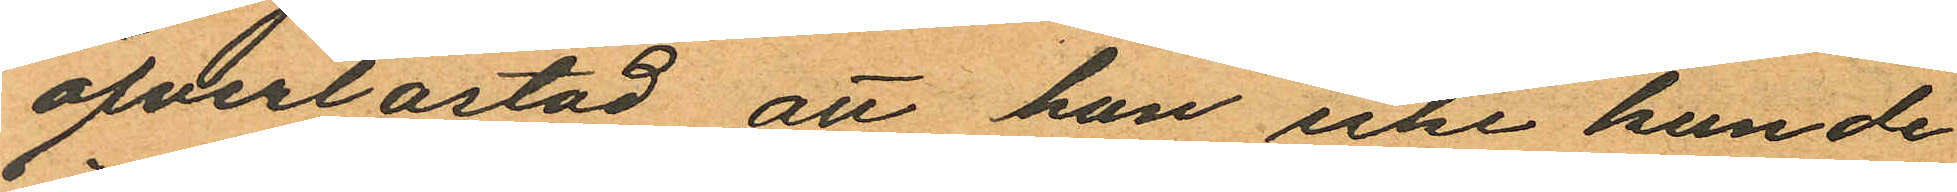öfverlastad att han icke kunde
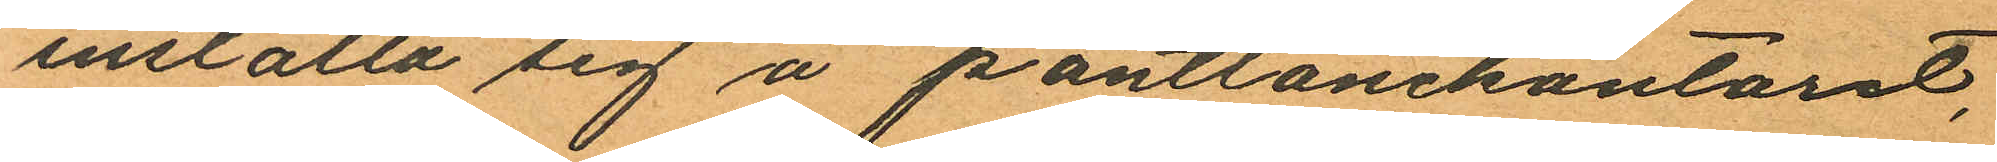inställa sig å pantlånekontoret,
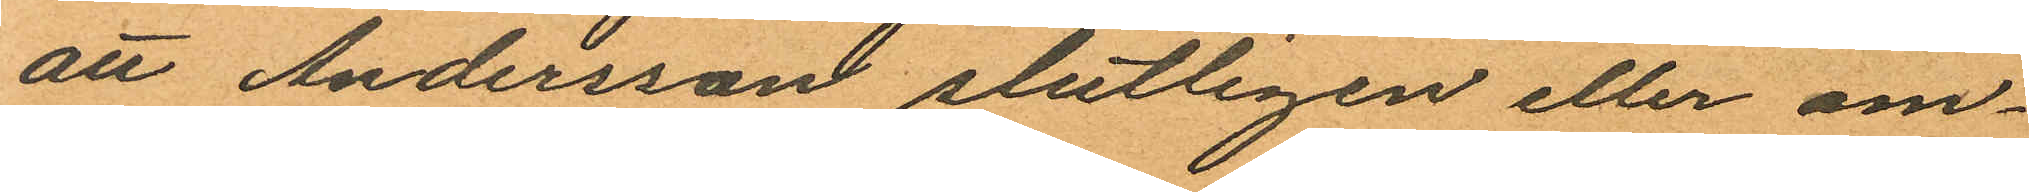att Andersson slutligen eller om¬
